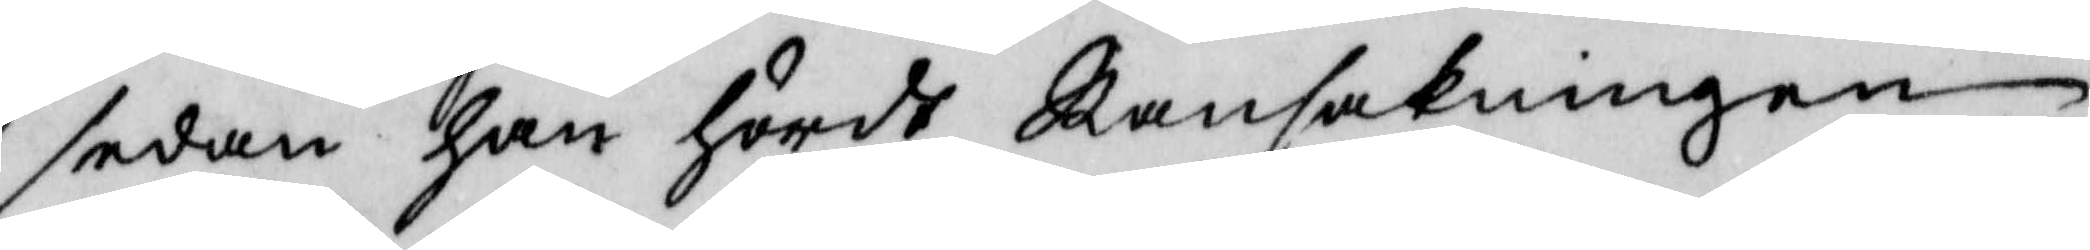sedan han hördt Ransakningen
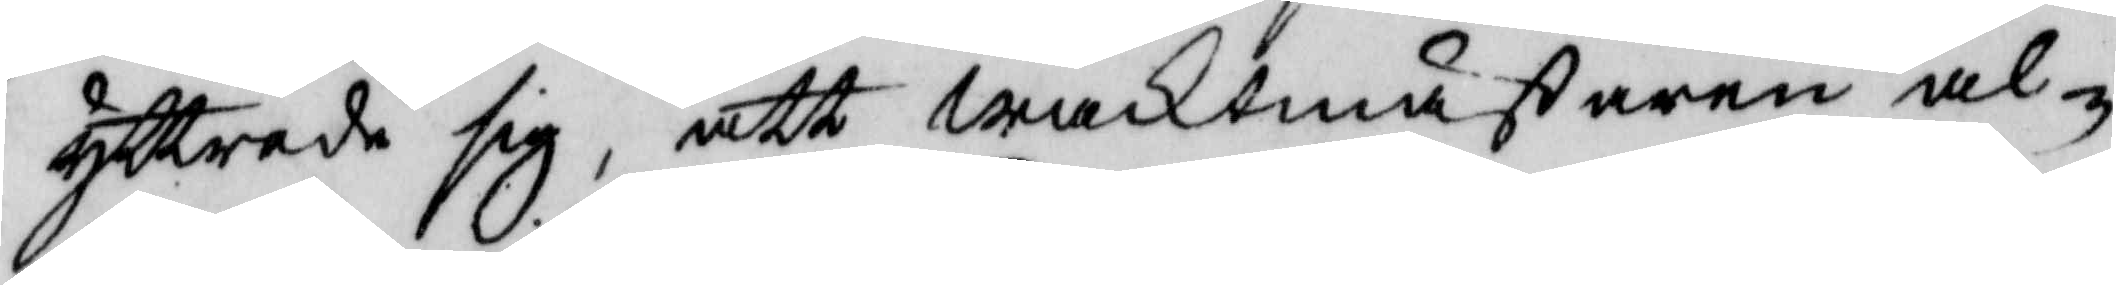yttrade sif, att waktmästaren al¬
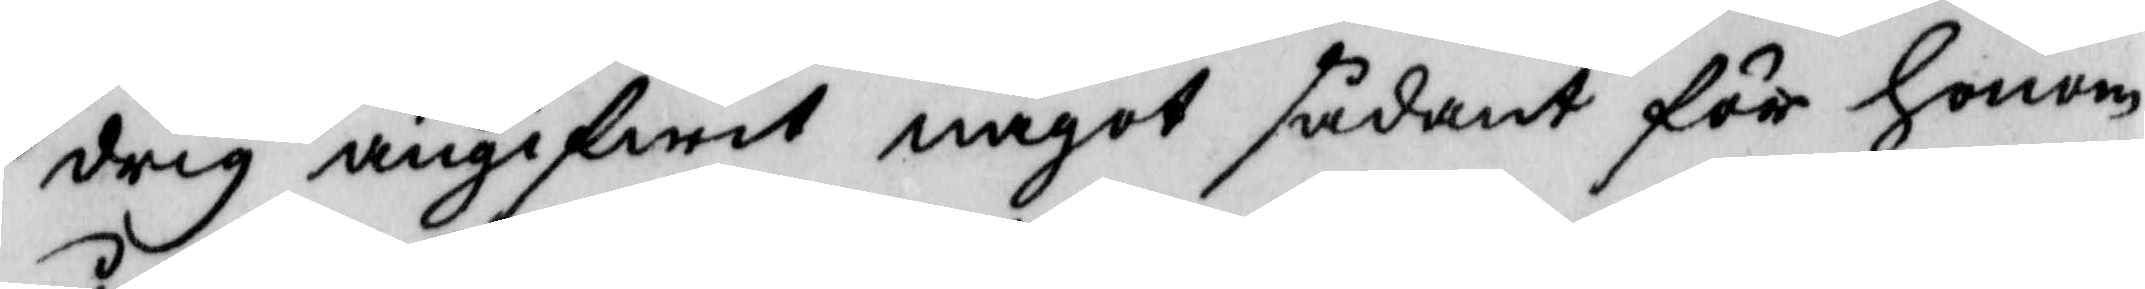drig angifwit något sådant för honom,
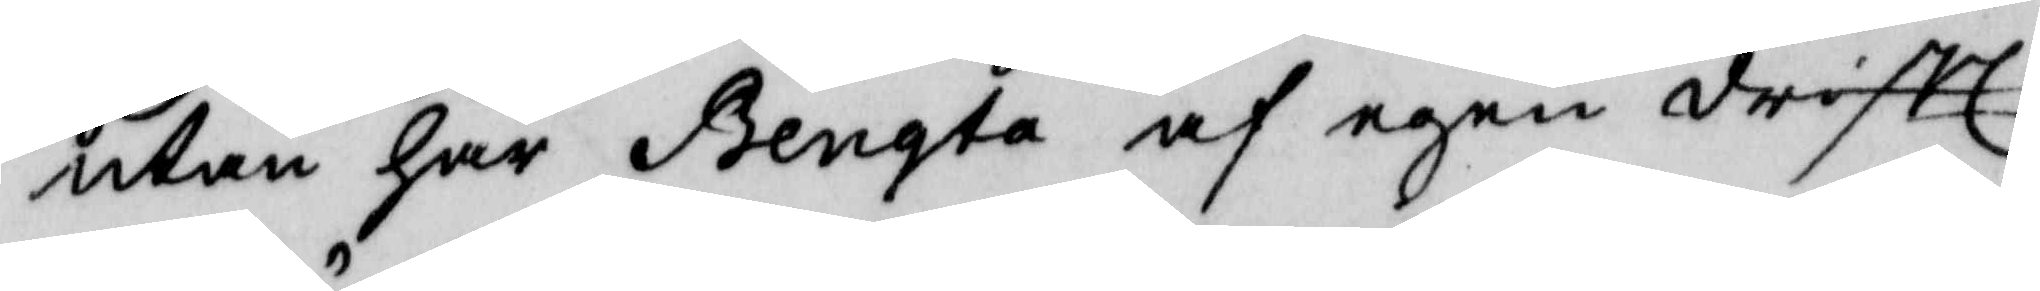utan har Bengta af egen drifft
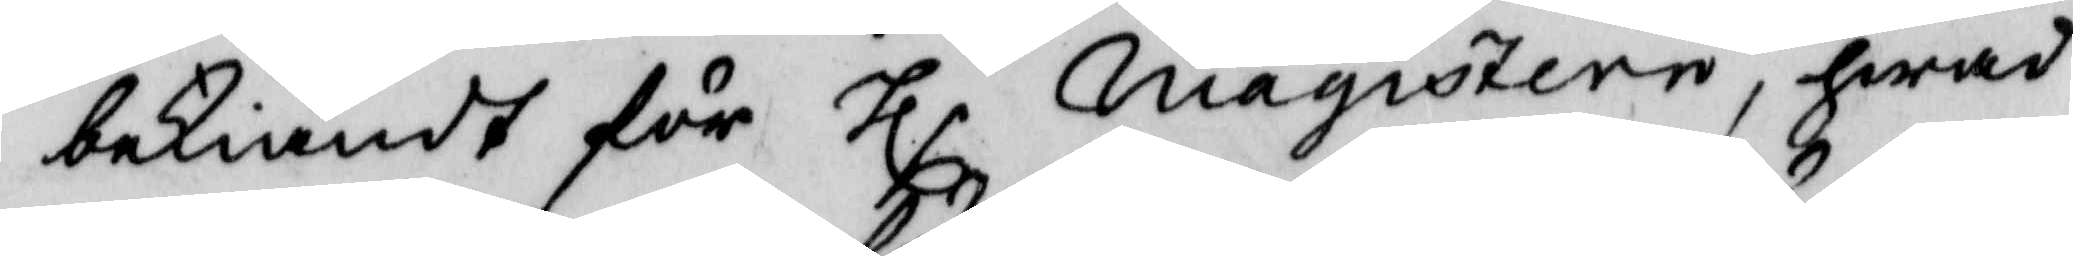bekiändt för Hlr magistern, hwad
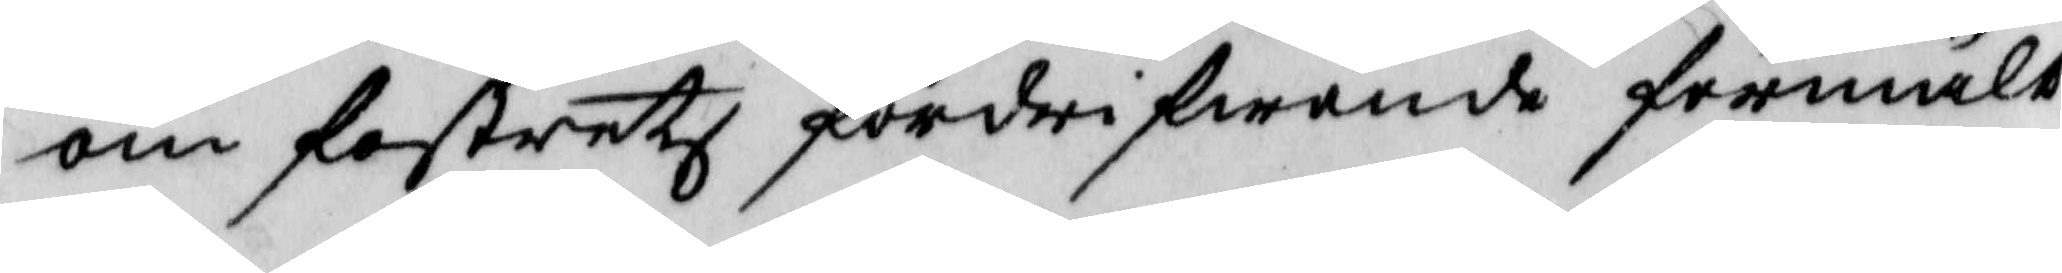om fostrets fördrivande förmält
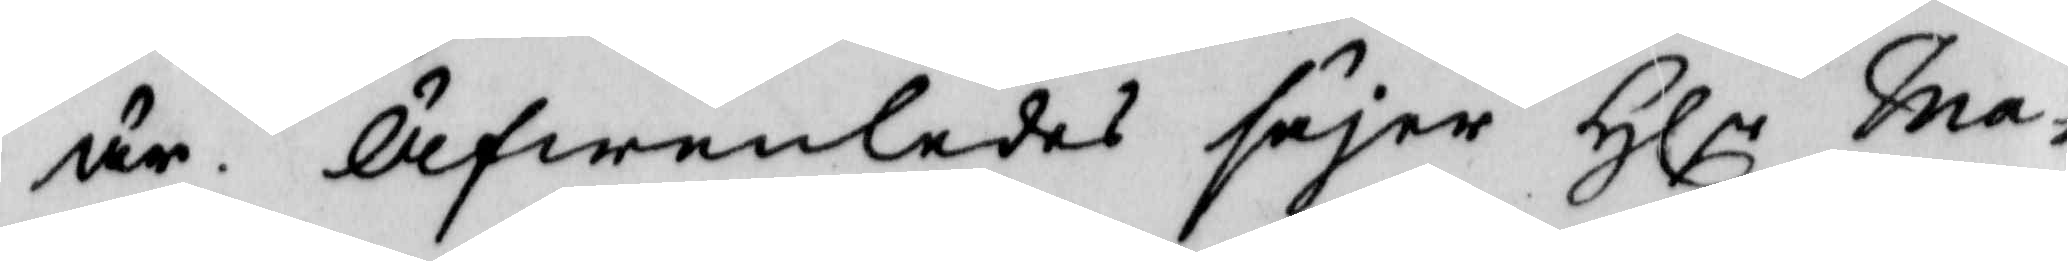är. Äfwenledes säjer Hlr ma¬
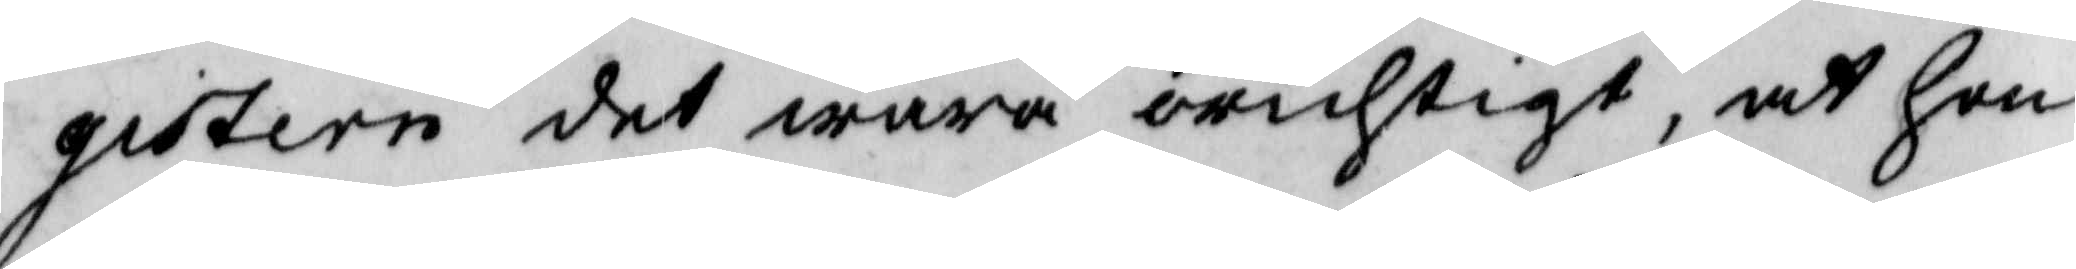gistern det wara orichtigt, at hon
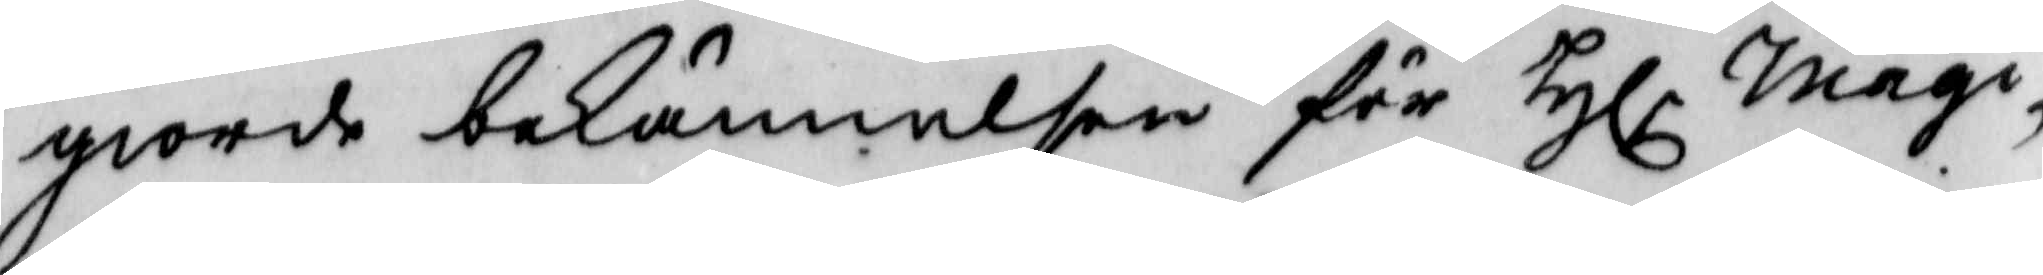giorde bekännelsen för Hlr magi¬
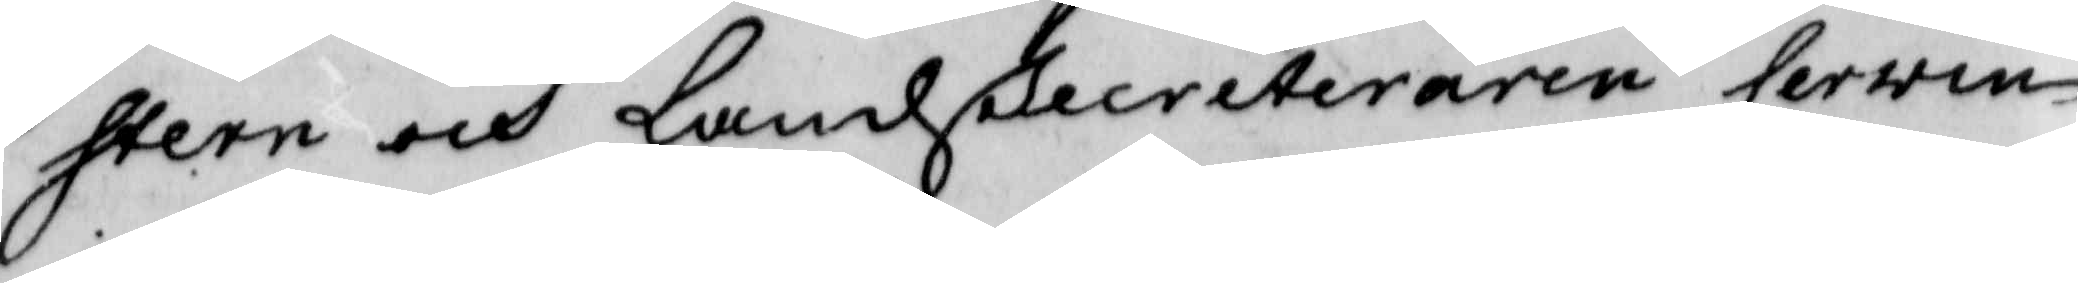stern och Landsecreteraren Cerwin
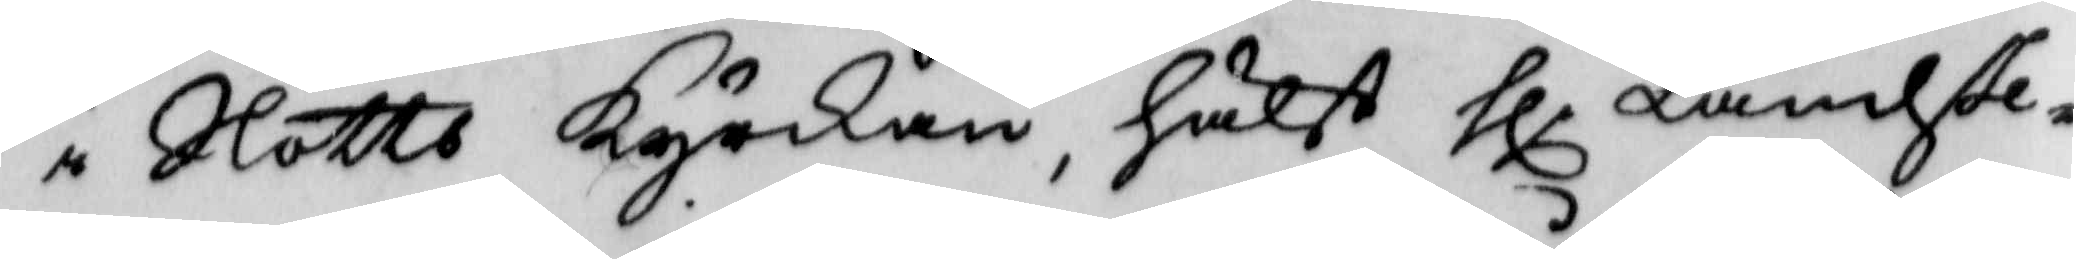i Slotts Kyrkan, hälst hlr Landse¬
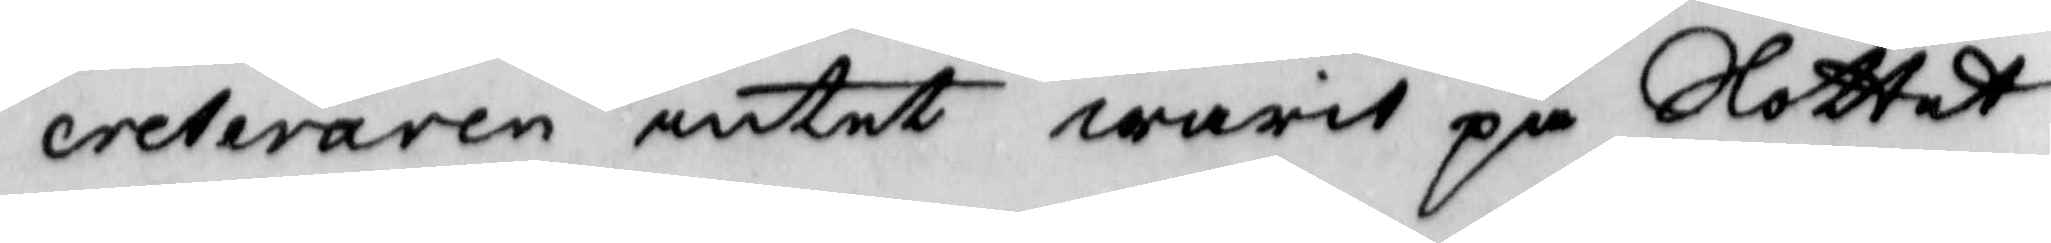creteraren intet warit på Slottet
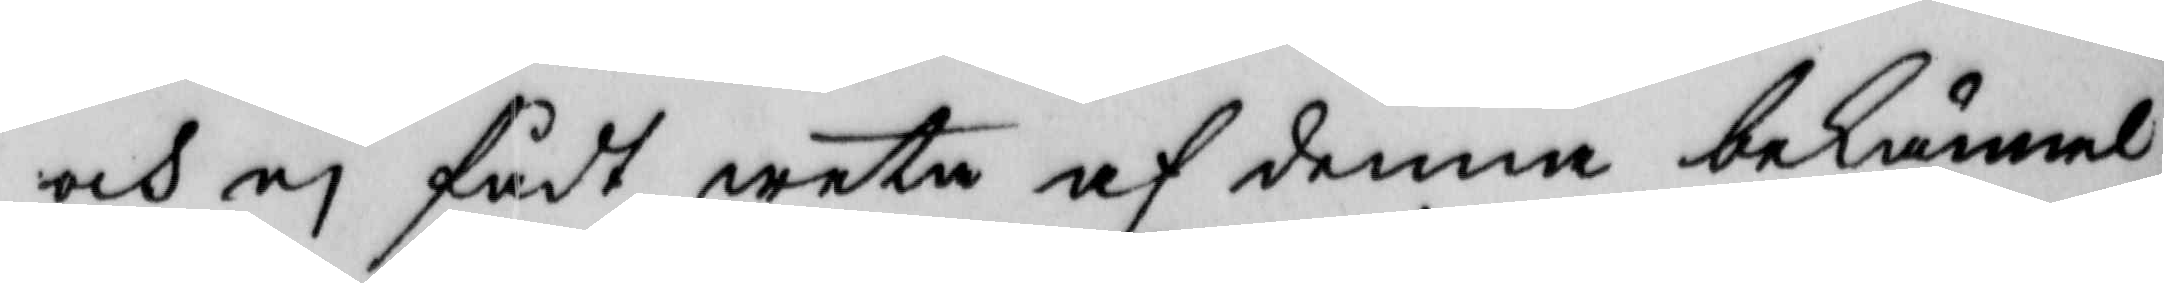och ej fådt weta af denna bekännel¬
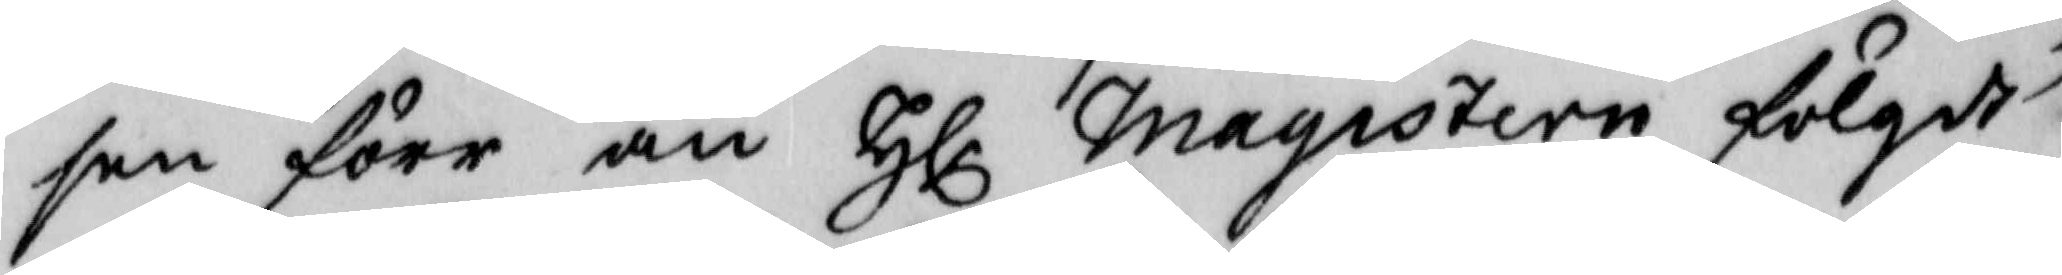sen förr än Hlr magistern fölgdt
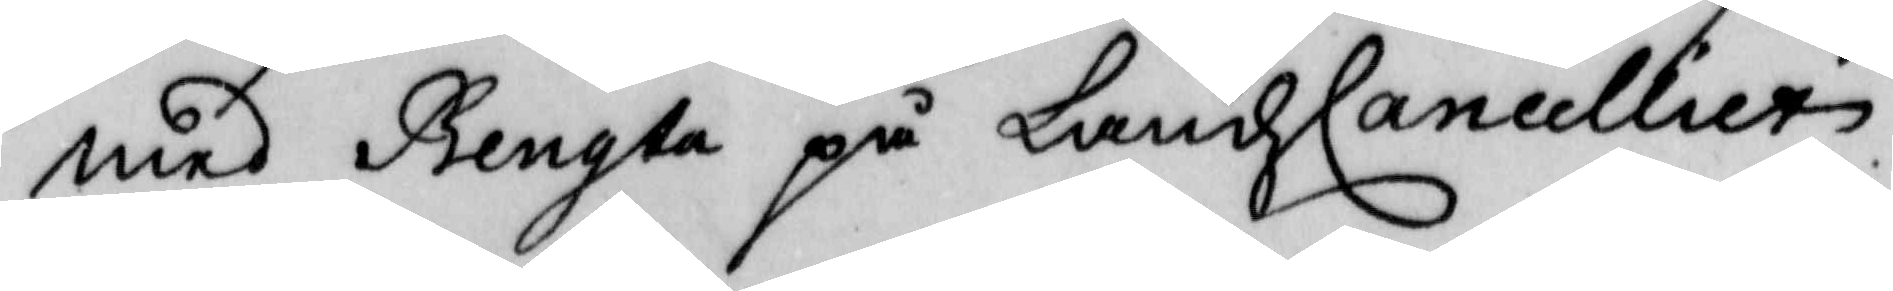med Bengta på LandzCancelliett.
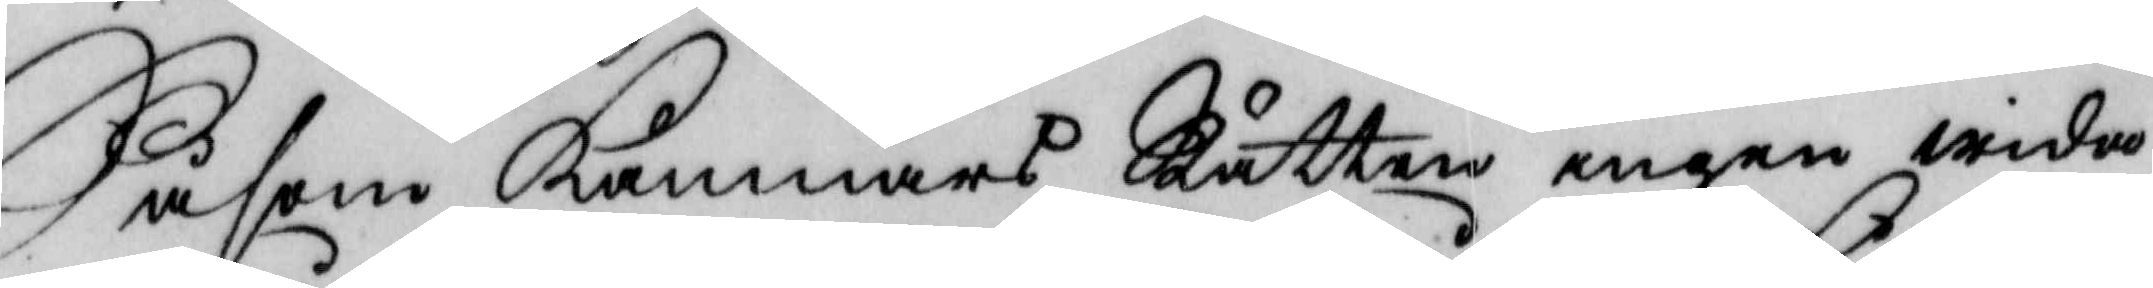Såsom Kämnärs Rätten ingen wida¬
